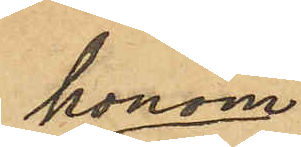honom
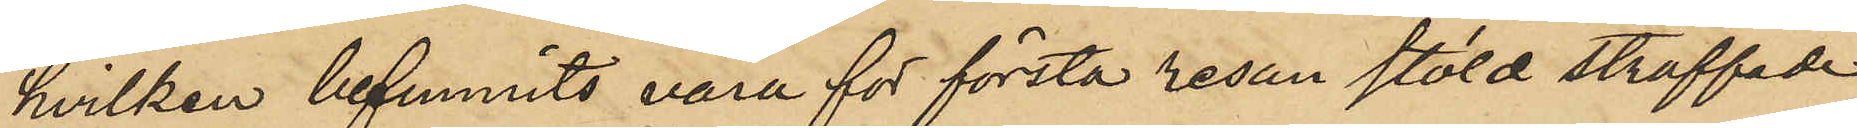hvilken befunnits vara för första resan stöld straffade
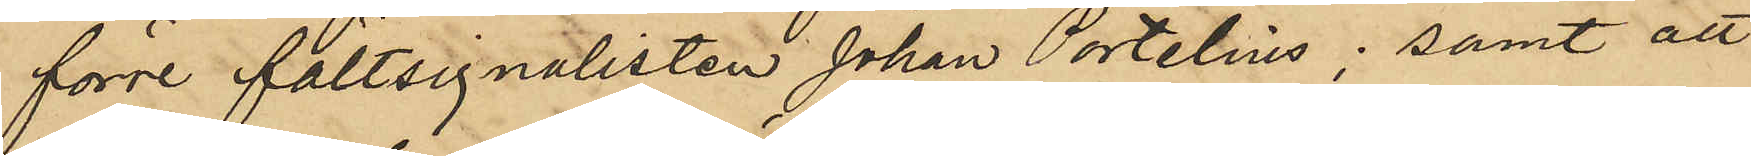förre fältsignalisten Johan Portelius; samt att
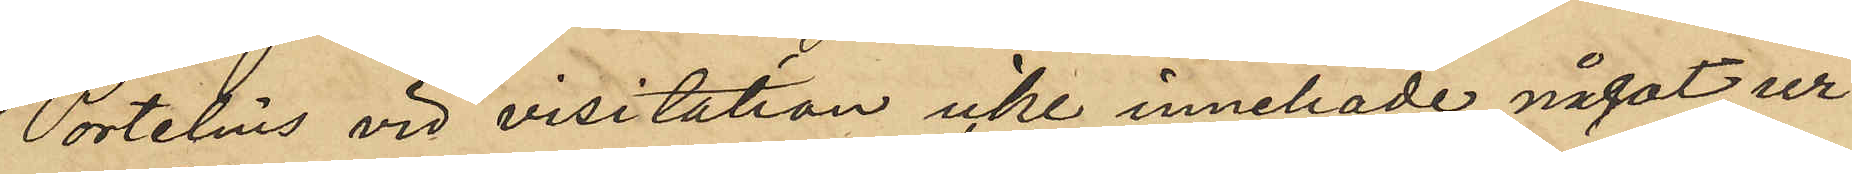Portelius vid visitation icke innehade något ur.
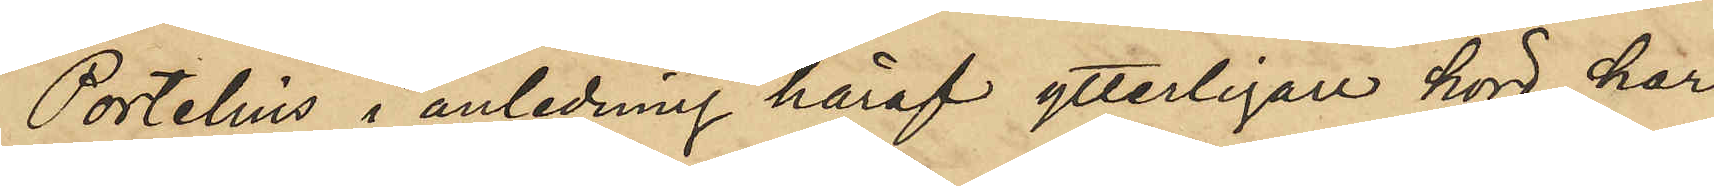Portelius i anledning häraf ytterligare hörd har
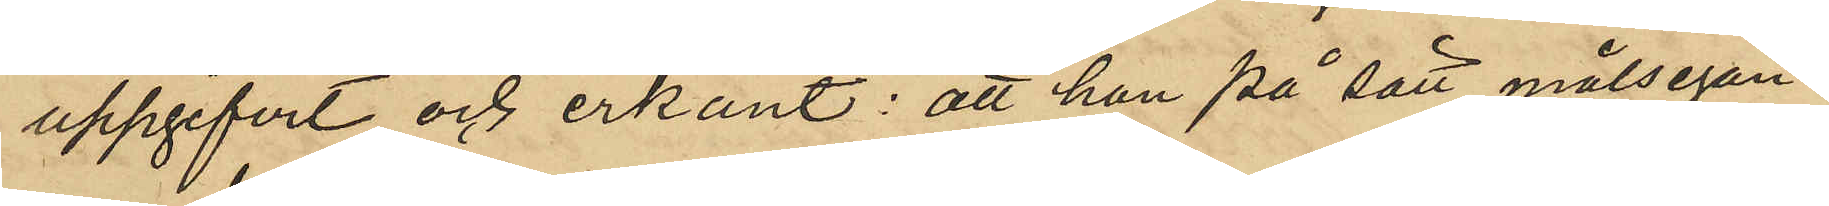uppgifvit och erkänt: att han på sätt målsegan¬
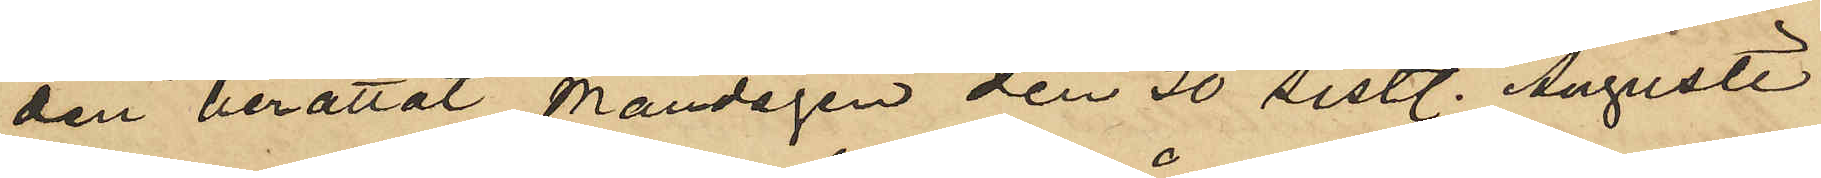den berättat Måndagen den 30 sistl. Augusti
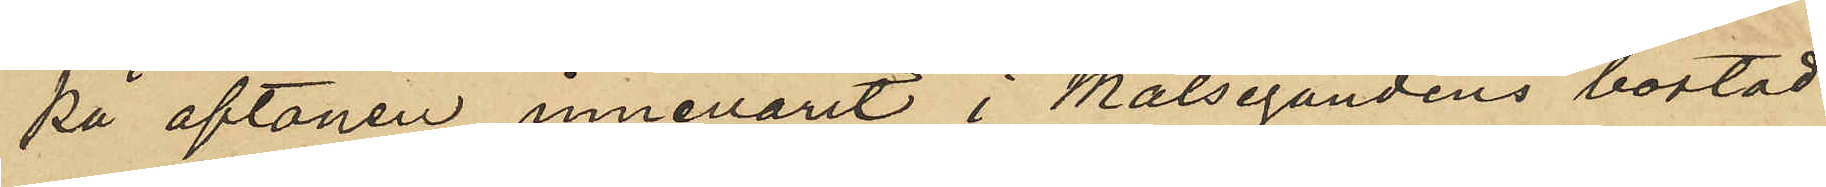på aftonen innevarit i Målsegandens bostad
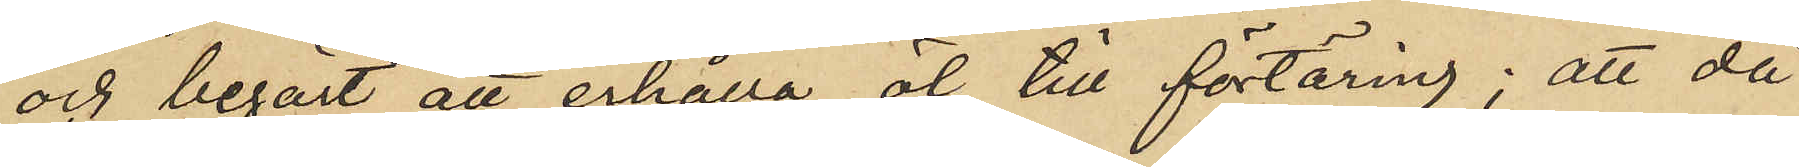och begärt att erhålla öl till förtäring; att då
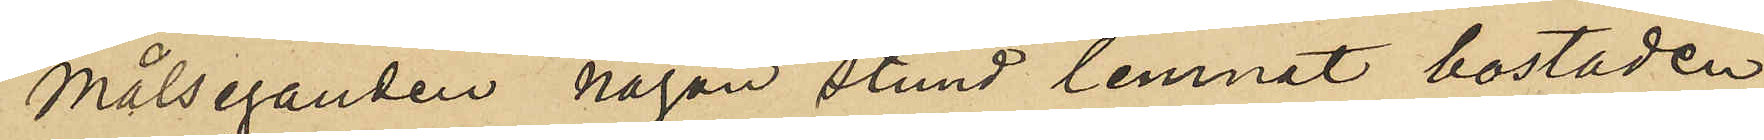Målseganden någon stund lemnat bostaden
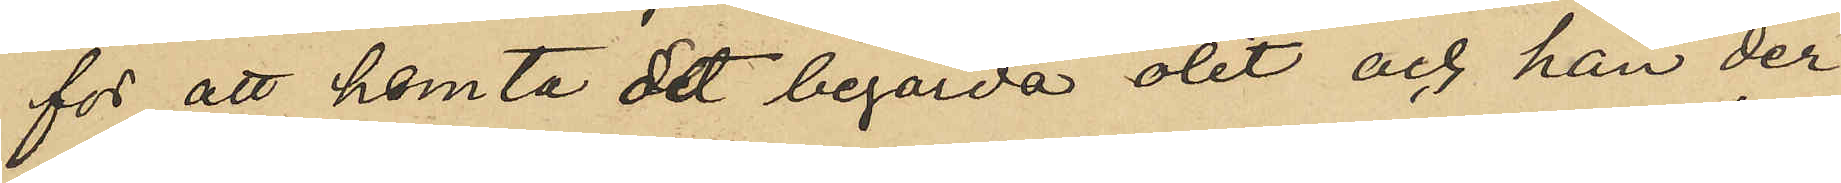för att hemta det begärda ölet och han der¬
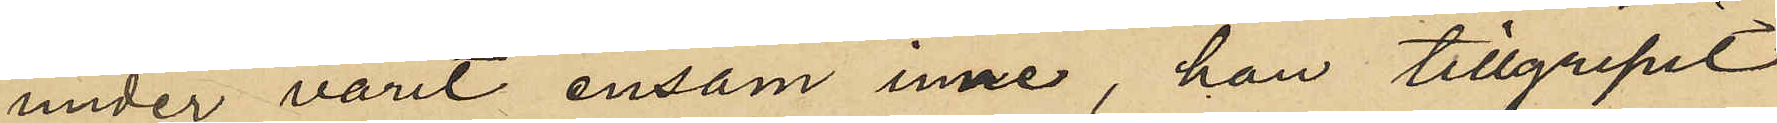under varit ensam inne, han tillgripit
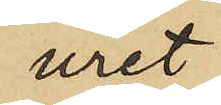uret
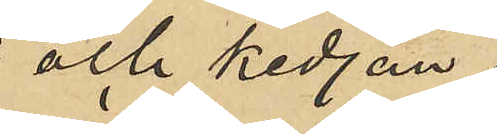och kedjan,
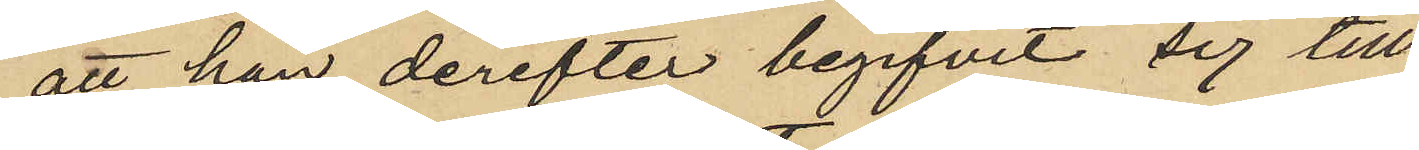att han derefter begifvit sig till
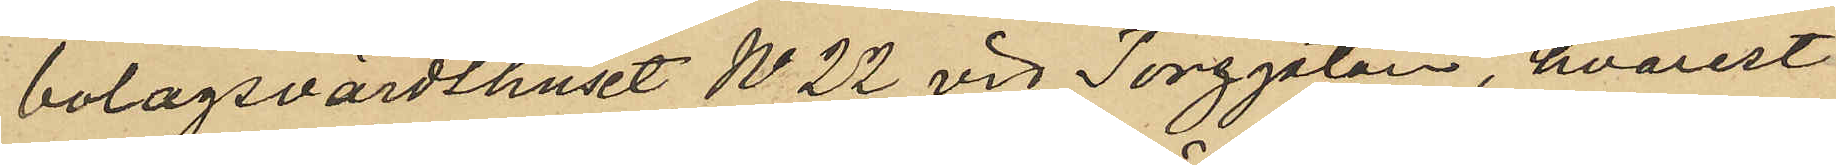bolagsvärdshuset No 22 vid Torggatan, hvarest
